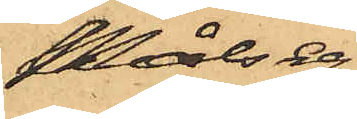Målseg.
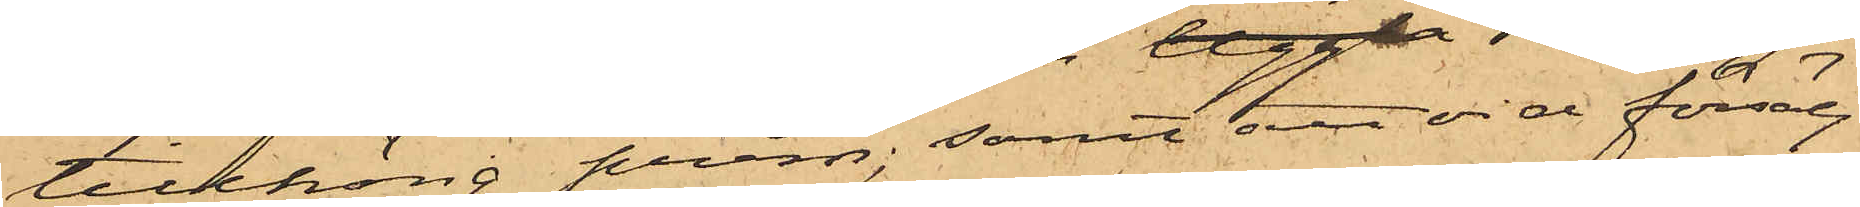tillhörig pråm, samt att vid försälj¬
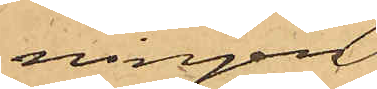ningen
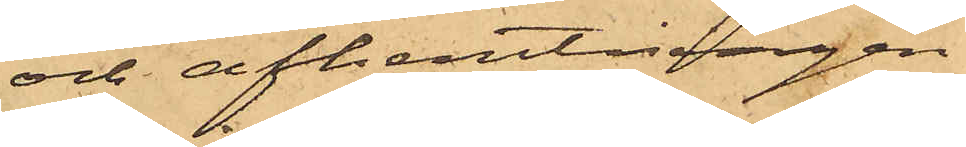och afhemtningen
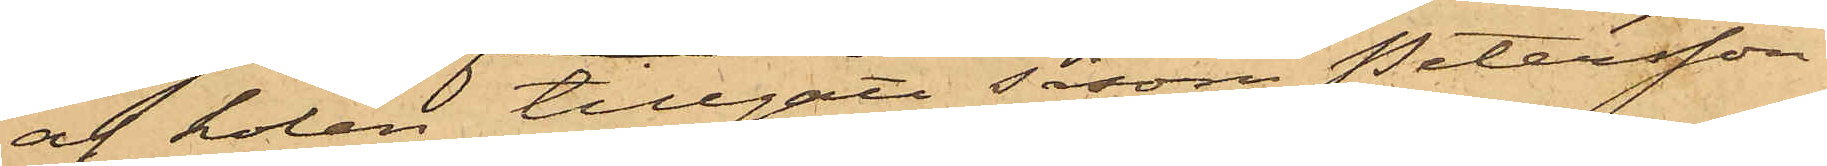af kolen tillgått såsom Petersson
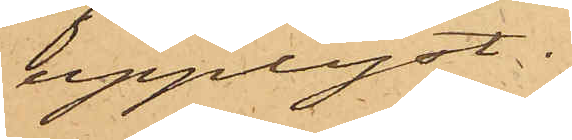upplyst.
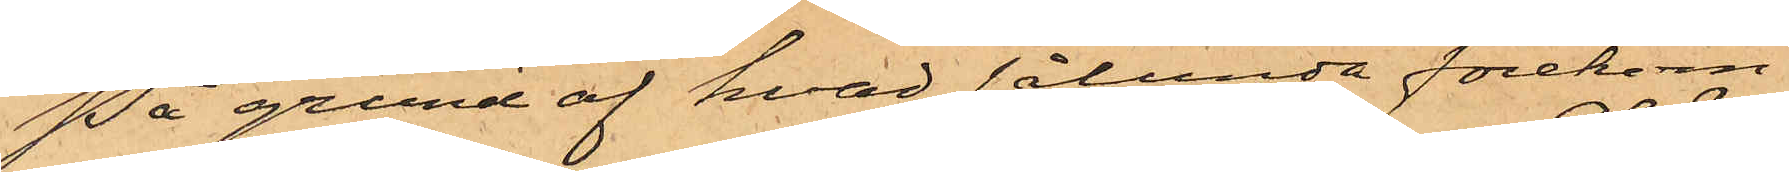På grund af hvad sålunda förekom¬
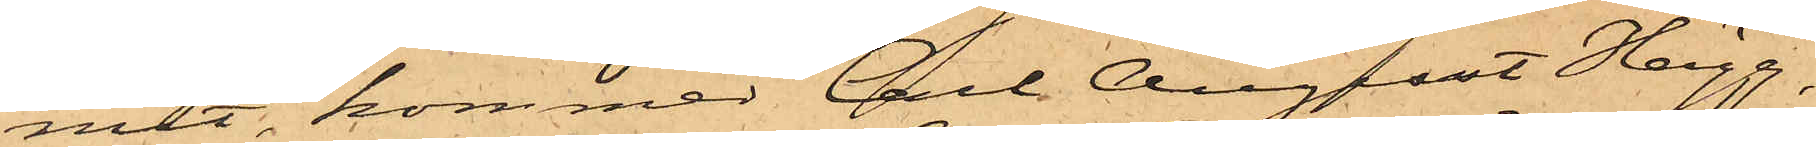mit, kommer Carl August Hägg,
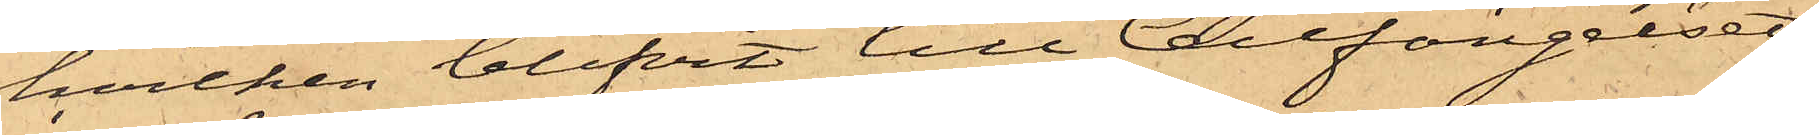hvilken blifvit till Cellfängelset
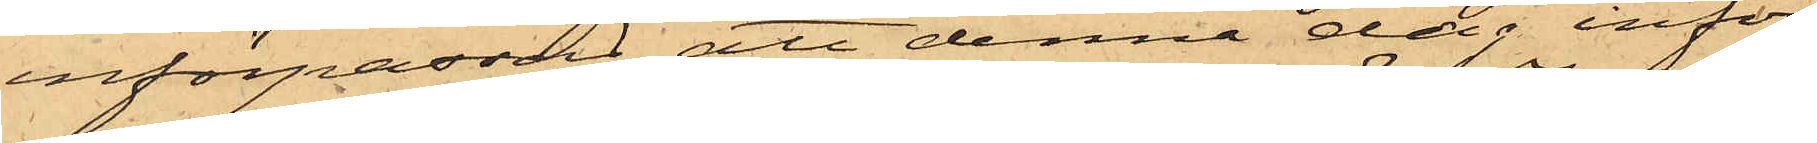införpassad, att denna dag inför
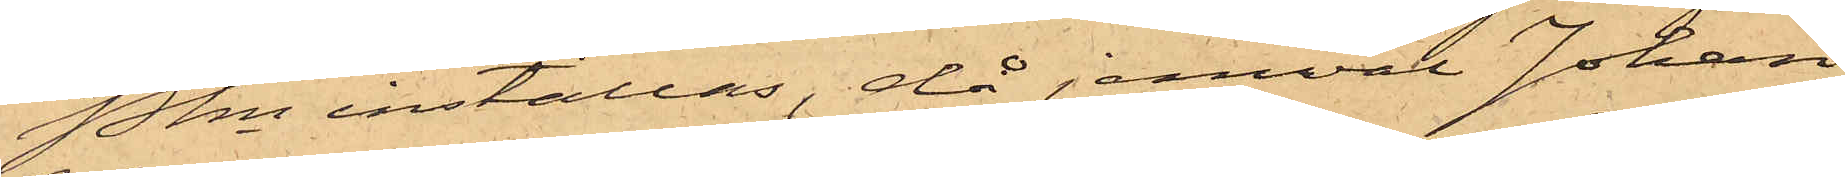Pkn inställas, då jemväl Johan
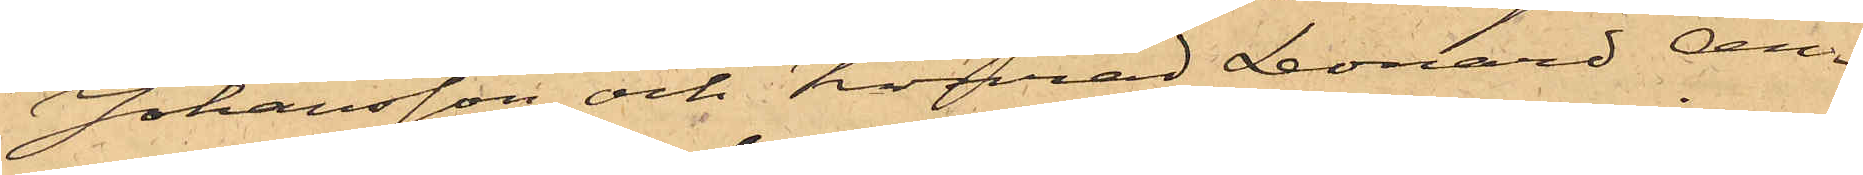Johansson och Konrad Leonard An¬
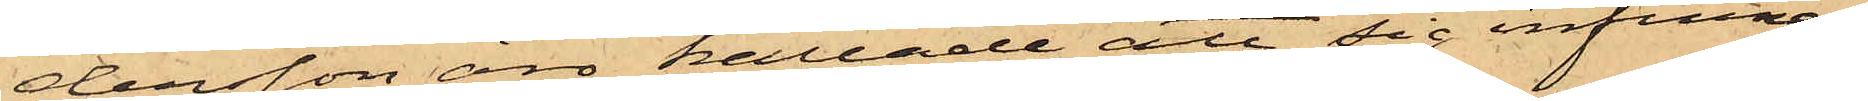dersson äro kallade att sig infinna.
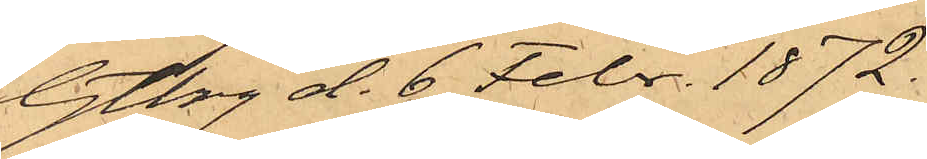Gtbg d. 6 Febr. 1872.
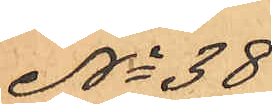No 38
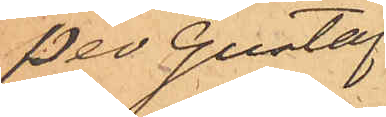Per Gustaf
